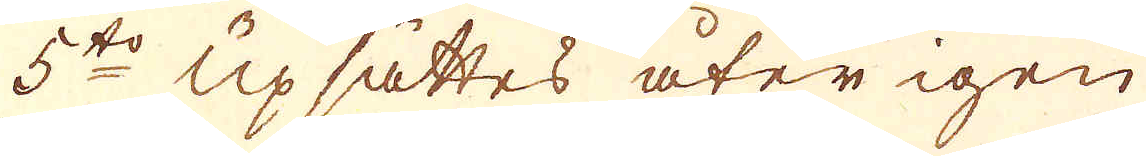5to Upsättes åter igen
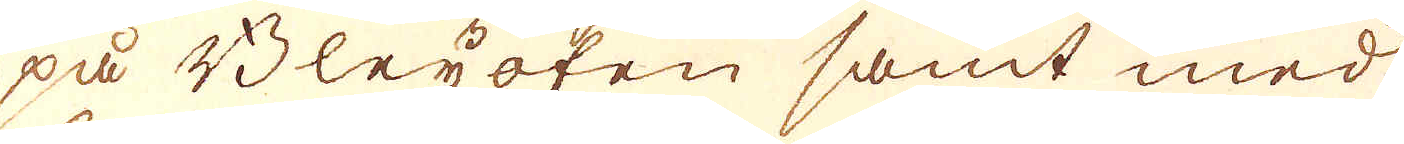på Bleyofen samt med
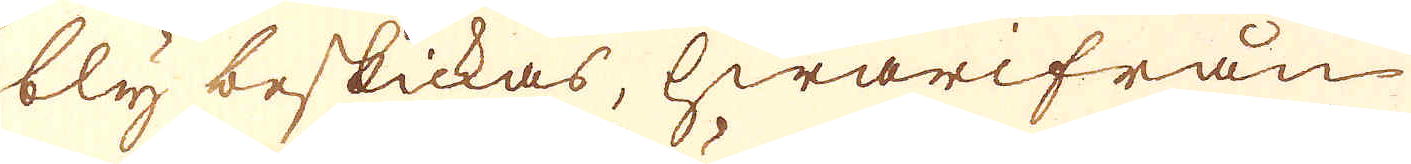bly beskickas, hwarifrån
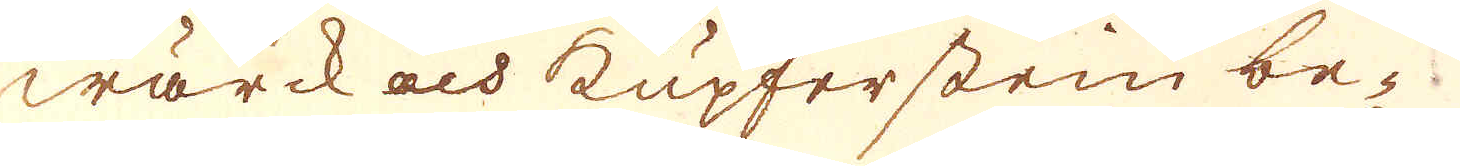wärck och kupferstein be-
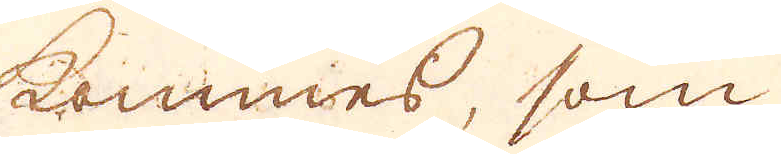kommes, som
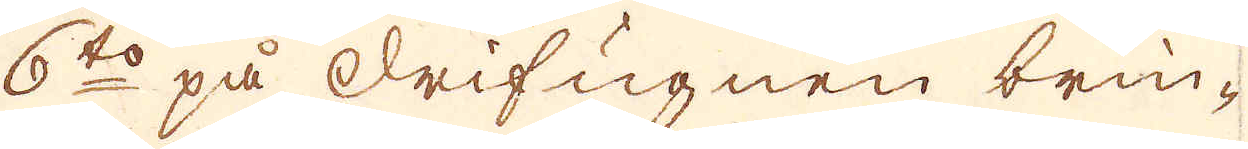6to på drifugnen brin-
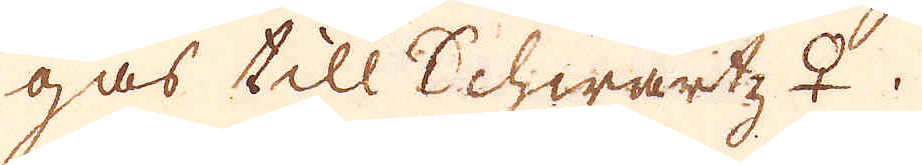gas till Schwartz ♀.
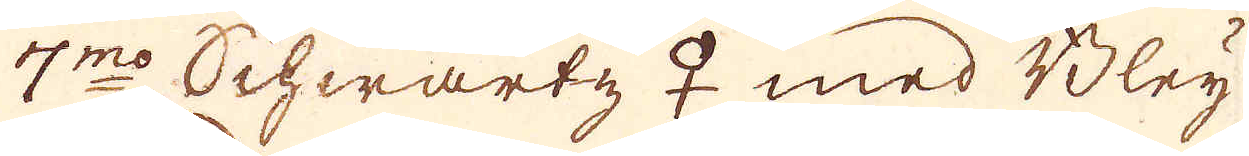7mo Schwartz ♀ med Bley
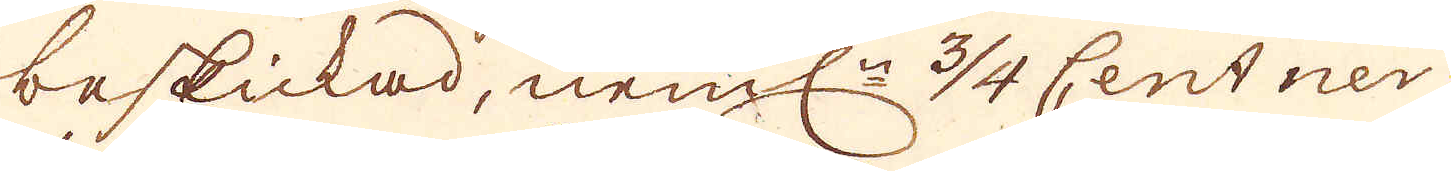beskickad, neml:n 34 Centner
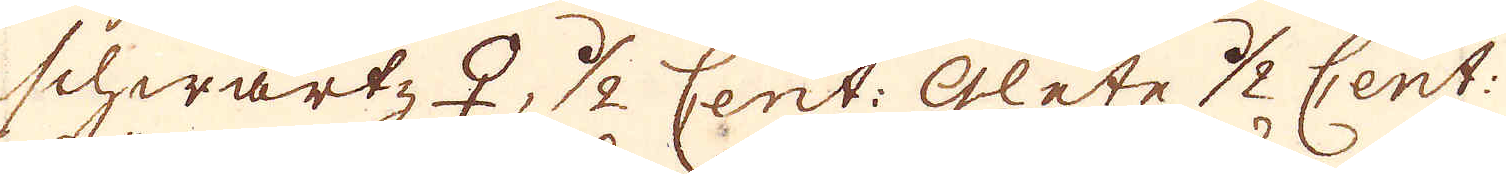schwartz ♀, 1/2 Cent: Glete 1/2 Cent:
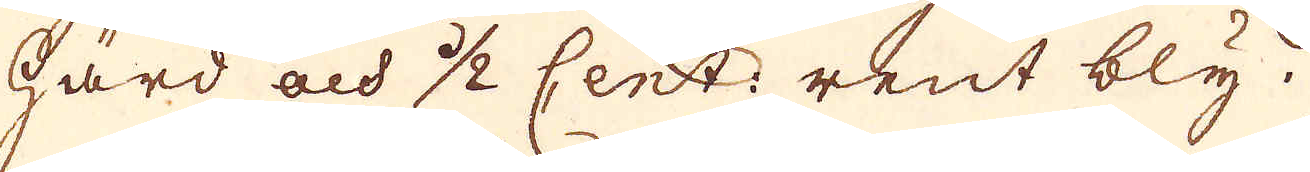härd och 1/2 Cent: rent bly.
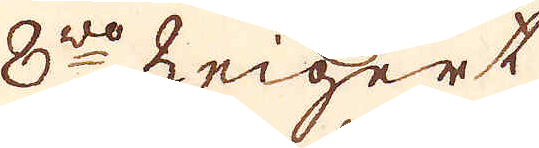8vo Zeigert
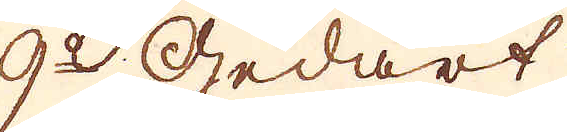9o Gedart
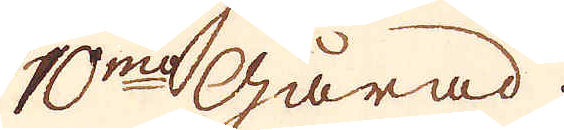10mo Gårad.
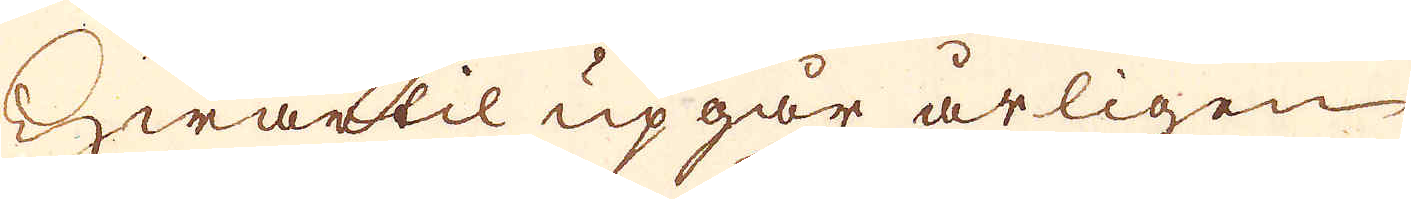Hwartil upgår årligen
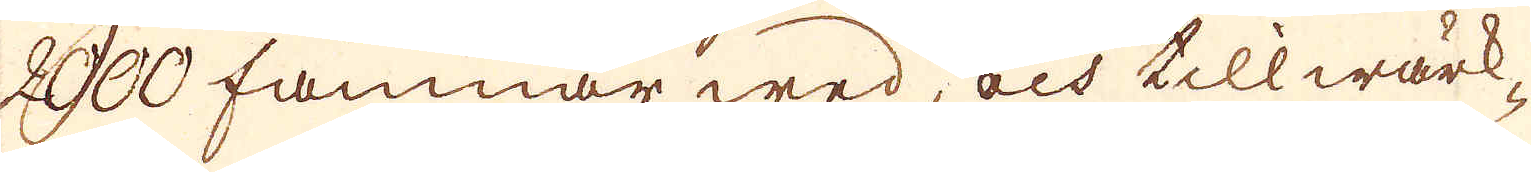2000 famnar wed, och tillwärk-
